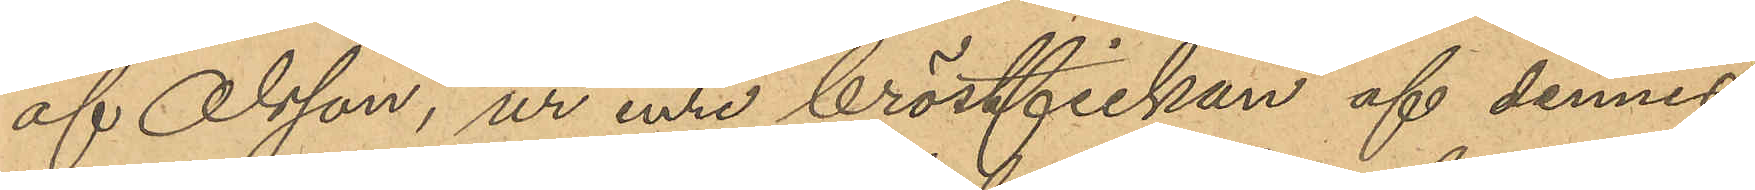af Olsson, ur inre bröstfickan af dennes
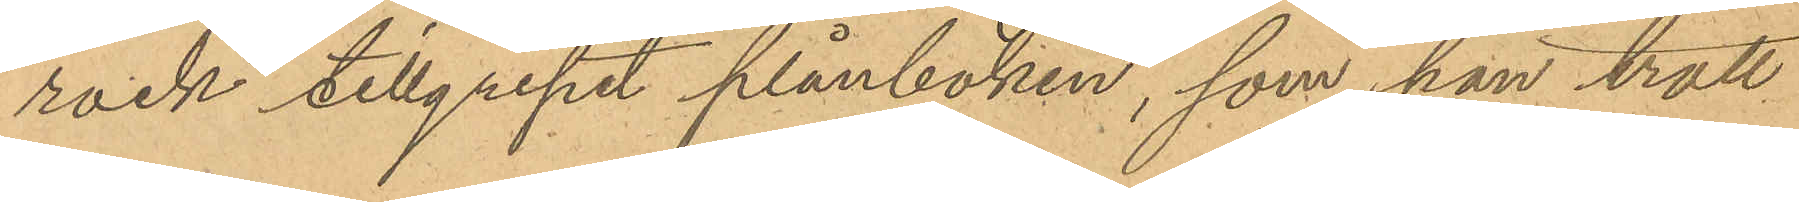rock tillgripit plånboken, som han trott
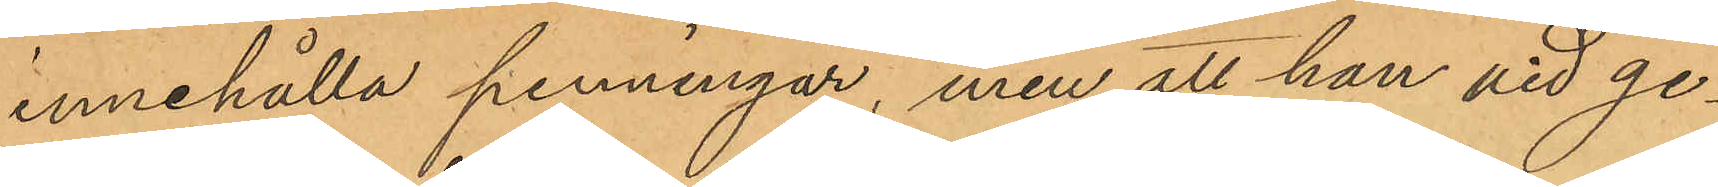innehålla penningar, men att han vid ge¬
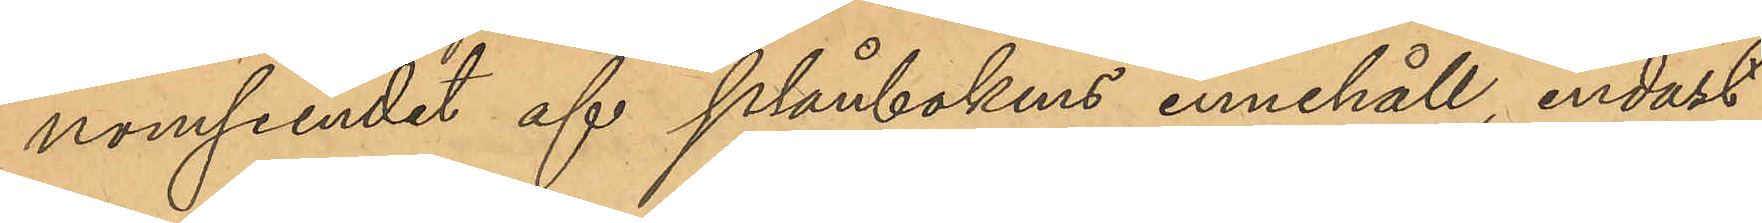nomseendet af plånbokens innehåll, endast
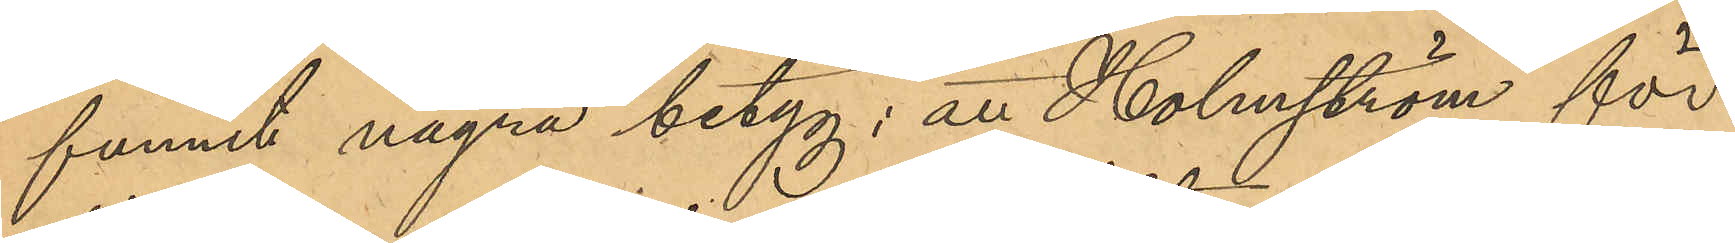funnit några betyg; att Holmström för
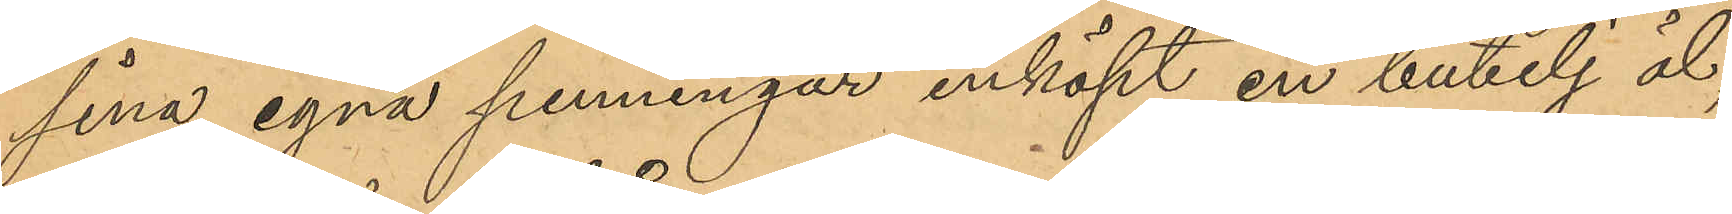sina egna penningar inköpt en bubelj öl,
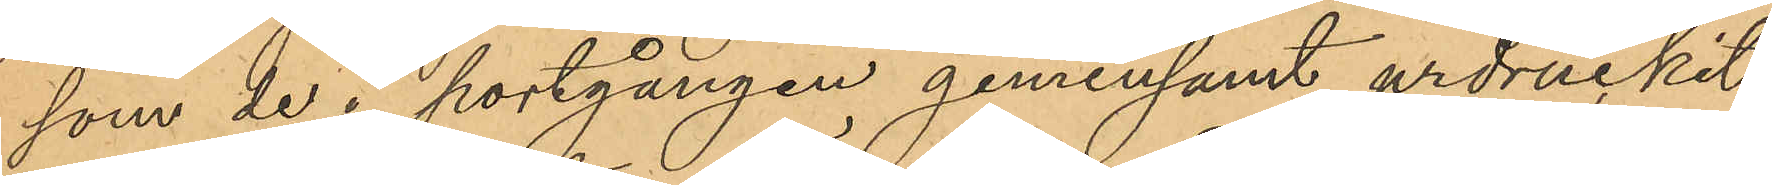som de i portgången gemensamt urdruckit;
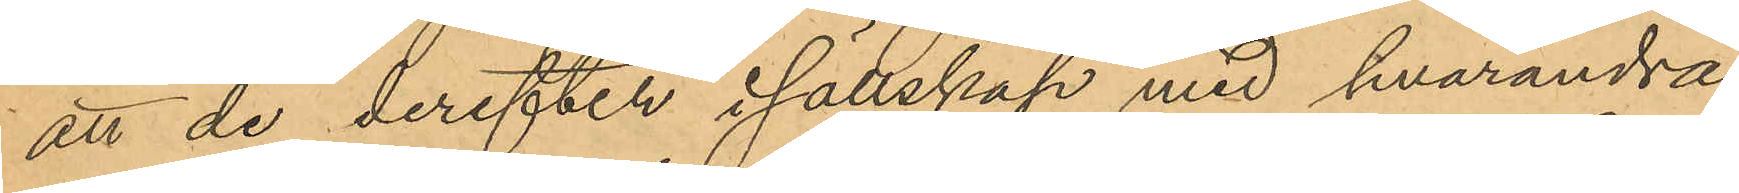att de derefter i sällskap med hvarandra
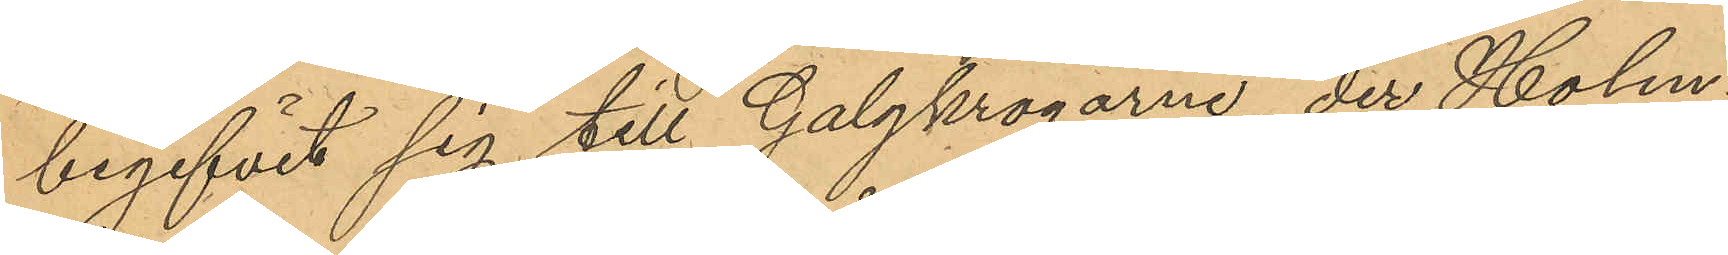begifvit sig till Galgkrogarne, der Holm¬
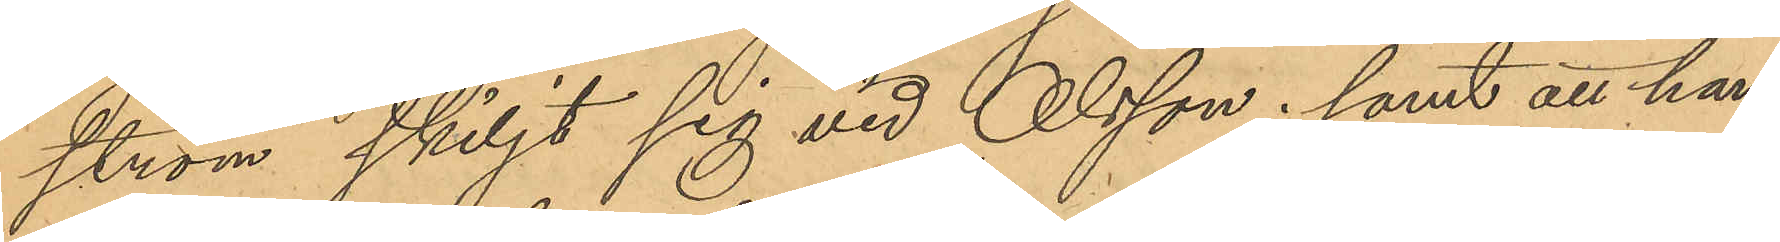ström skiljt sig vid Olsson; samt att han,
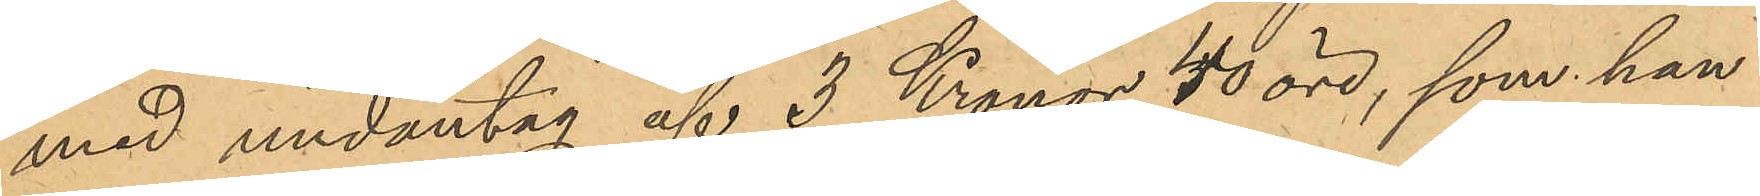med undantag af 3 Kronor 40 öre, som han
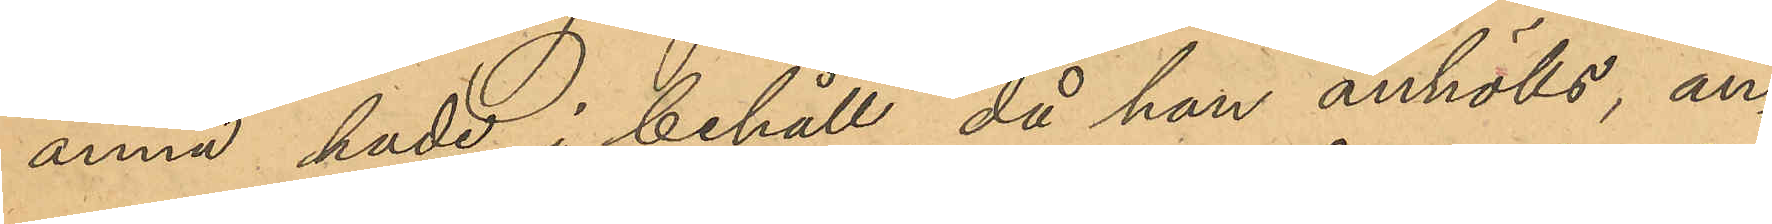ännu hade i behåll, då han anhölls, an¬
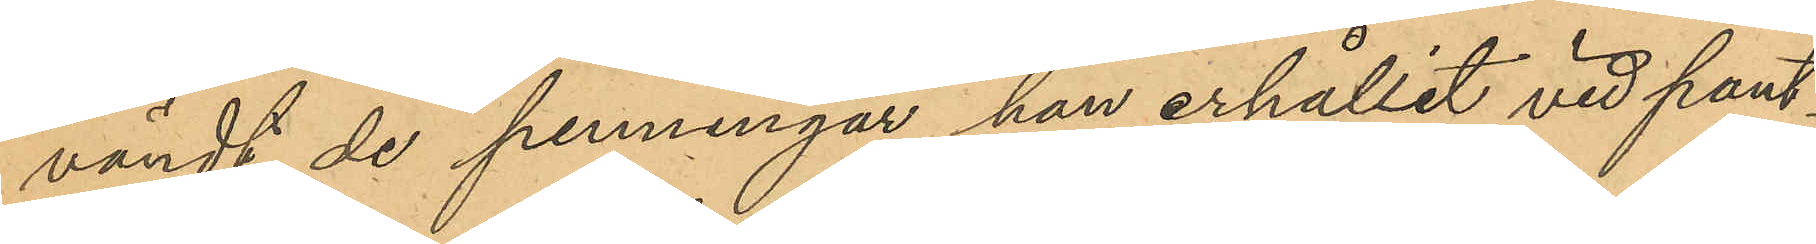vändt de penningar han erhållit vid pant¬
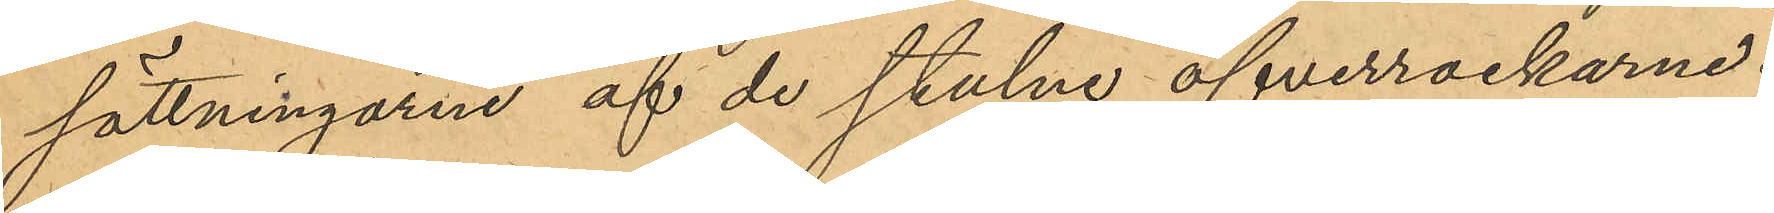sättningarne af de stulne öfverrockarne.
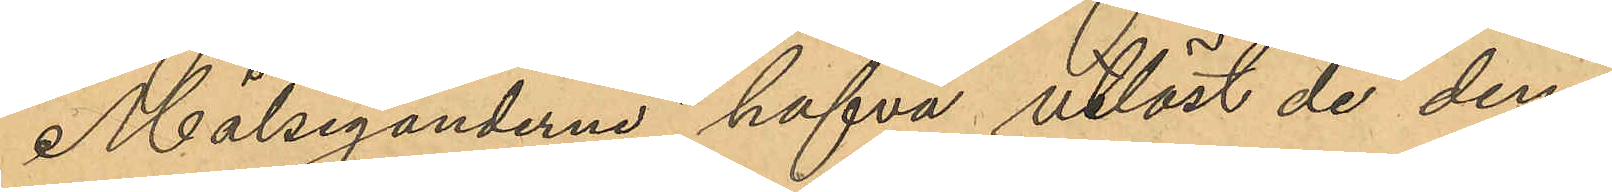Målseganderne hafva utlöst de dem
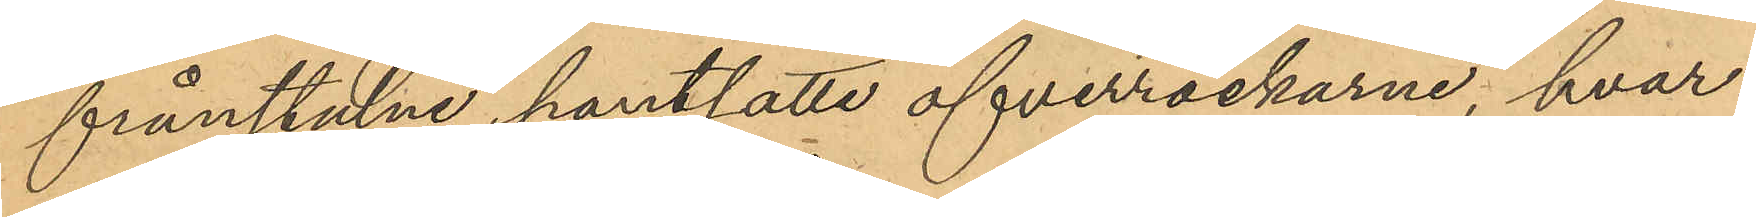frånstulne pantsatte öfverrockarne, hvar¬
